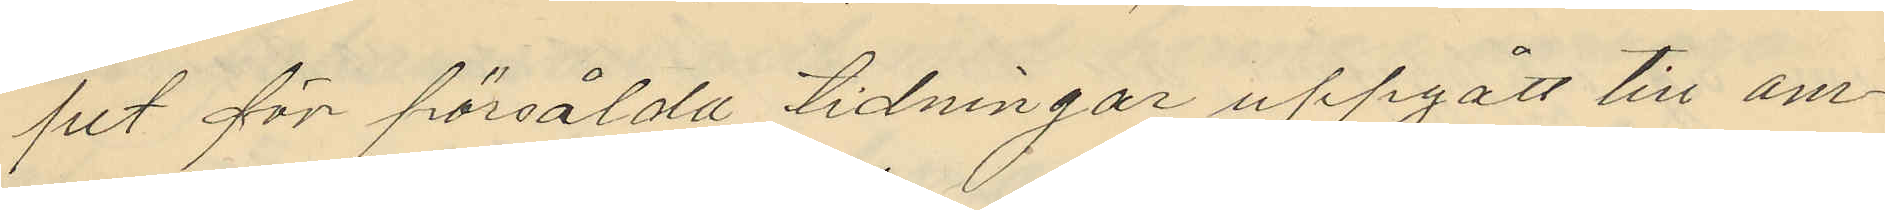pet för försålda tidningar uppgått till om¬
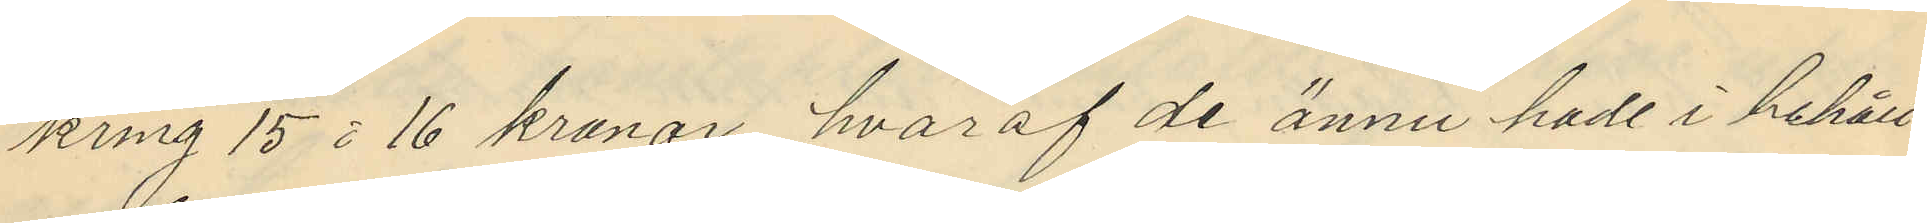kring 15 á 16 kronor, hvaraf de ännu hade i behåll
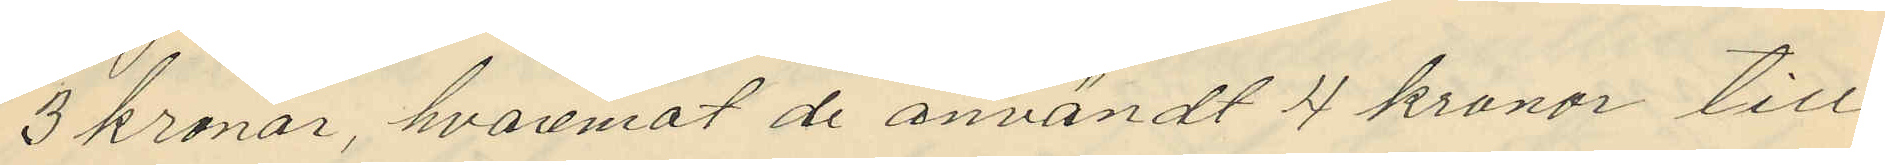3 kronor, hvarmot de användt 4 kronor till
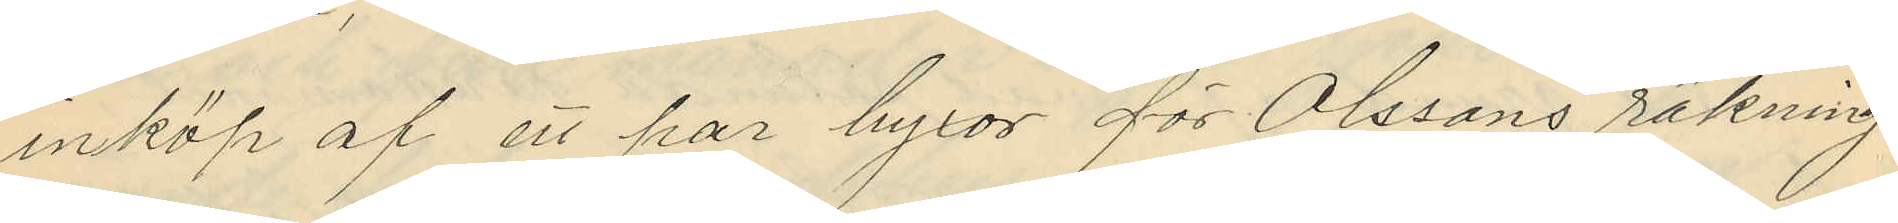inköp af ett par byxor för Olssons räkning
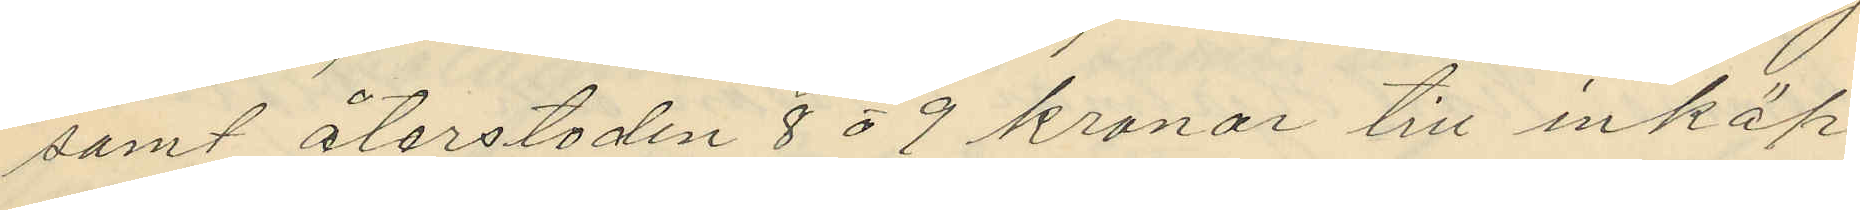samt återstoden 8 á 9 kronor till inköp
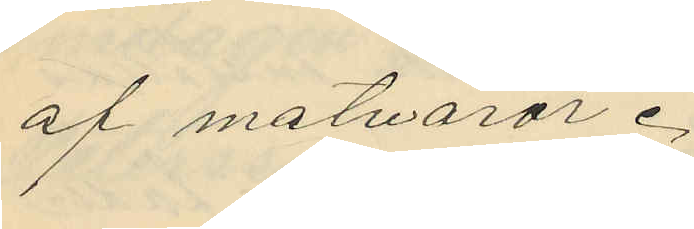af matvaror.
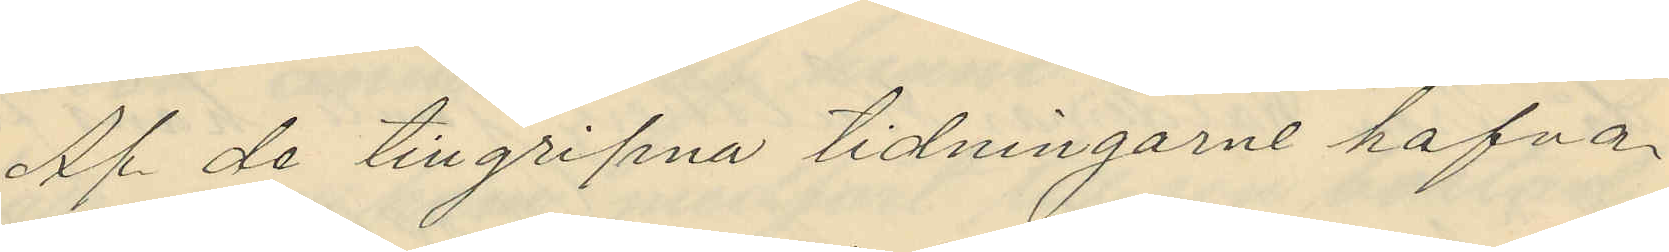Af de tillgripna tidningarne hafva
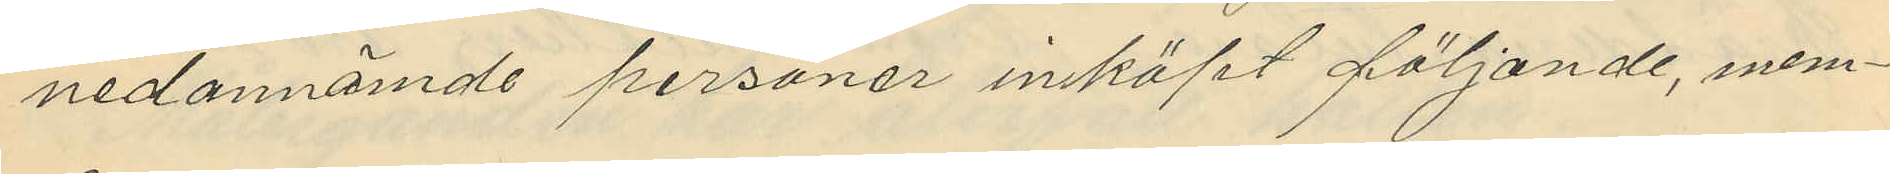nedannämde personer inköpt följande, nem¬
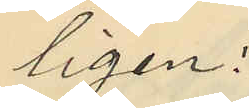ligen:
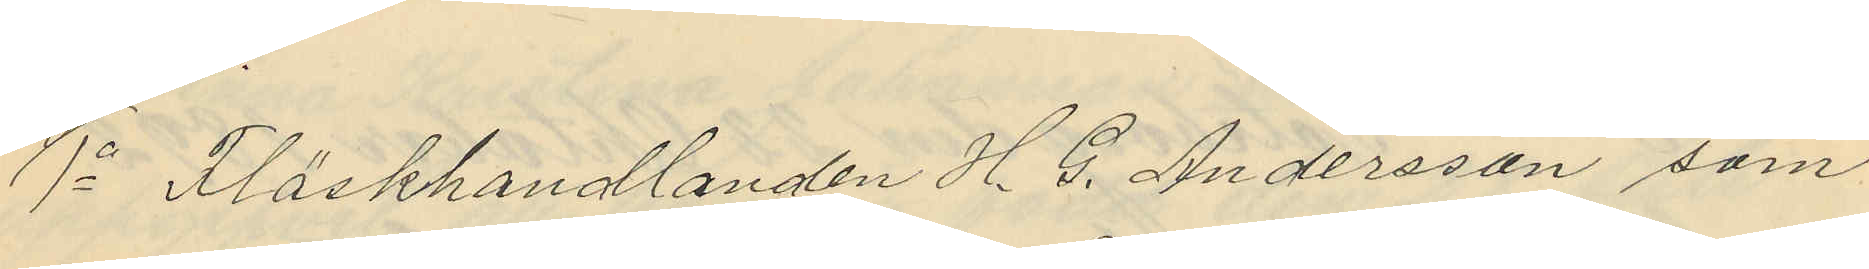1o Fläskhandlanden H. G. Andersson som
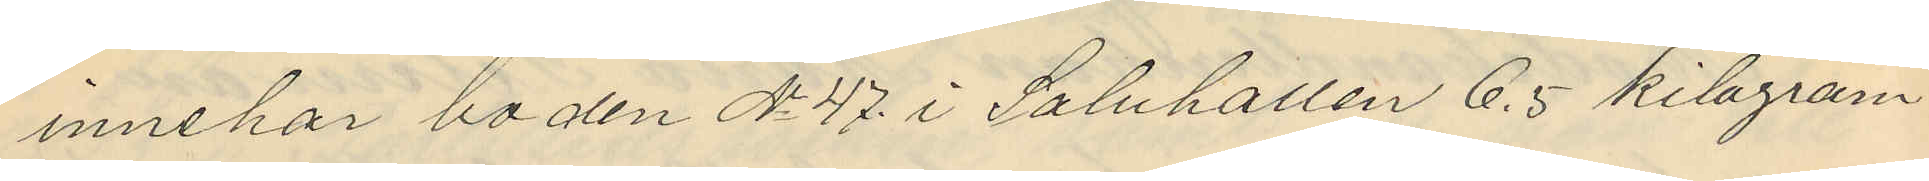innehar boden No 47 i Saluhallen 6.5 kilogram
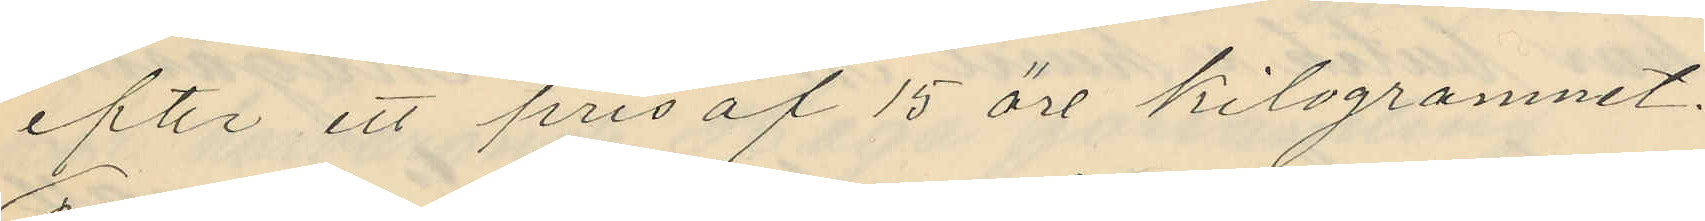efter ett pris af 15 öre kilogrammet.
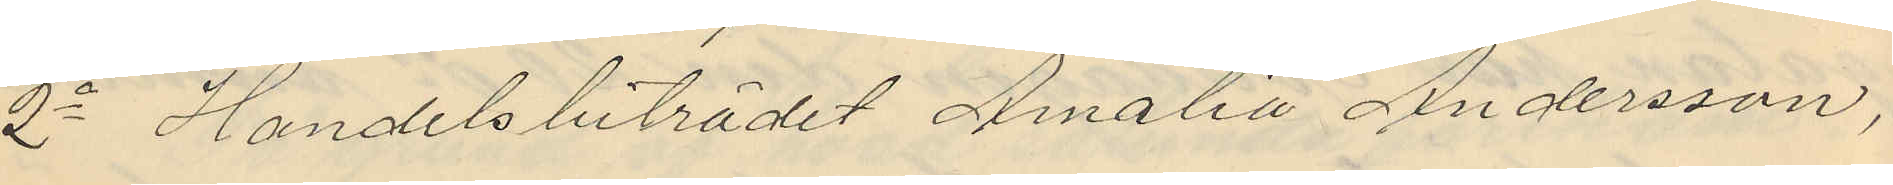2o Handelsbiträdet Amalia Andersson,
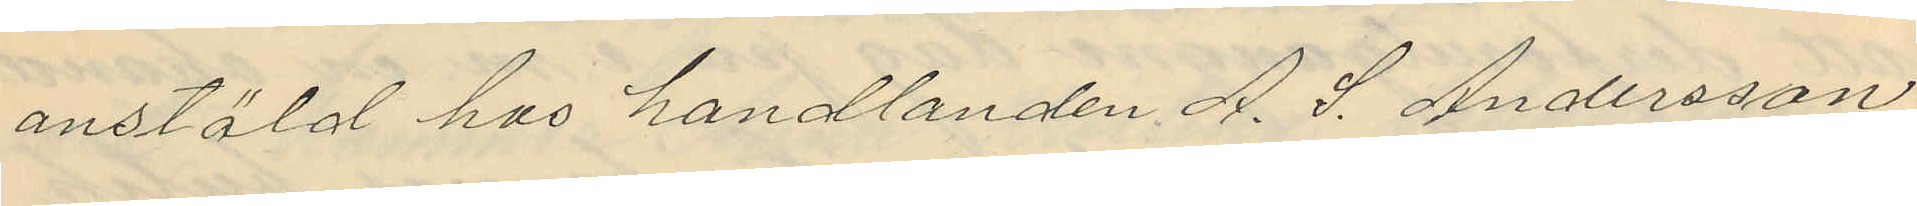anstäld hos handlanden A. J. Andersson
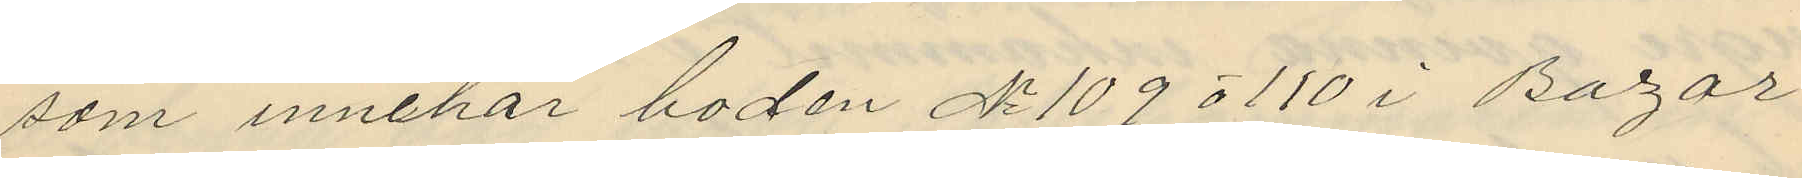som innehar boden No 109 o 110 i Bazar
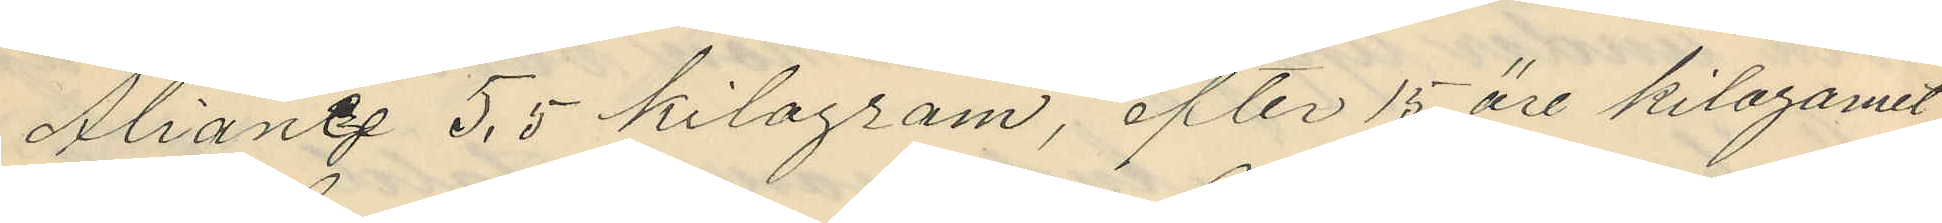Alianz 5,5 kilogram, efter 15 öre kilogrammet
